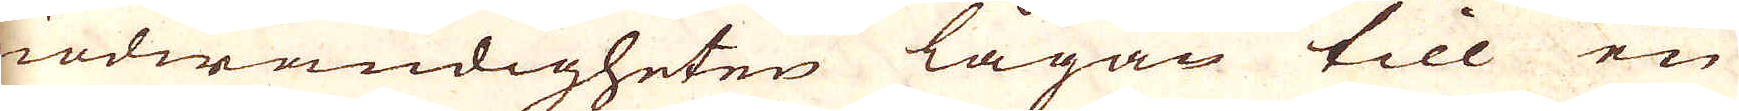nödwändigheten lågan till en
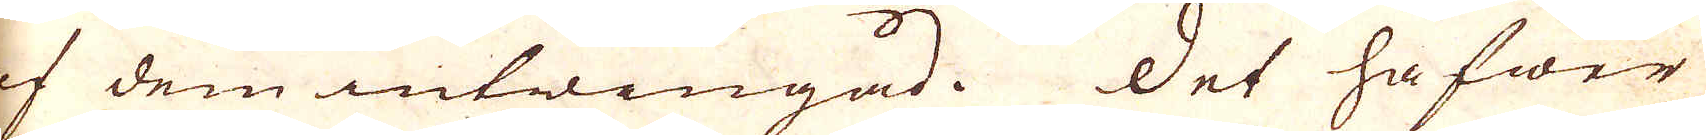af dem intwingad. Det hafwer
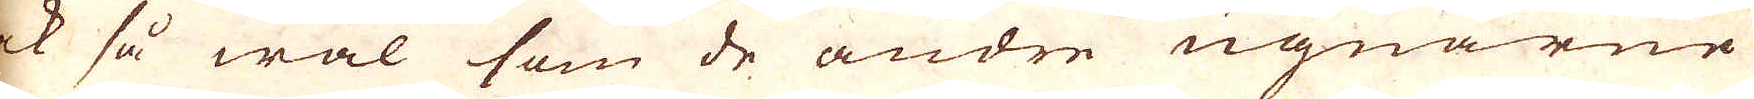ock så wäl som de andre ugnarne
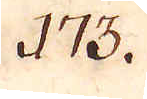173.
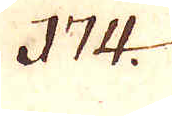174.
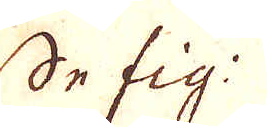Se fig:
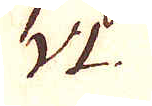VI.
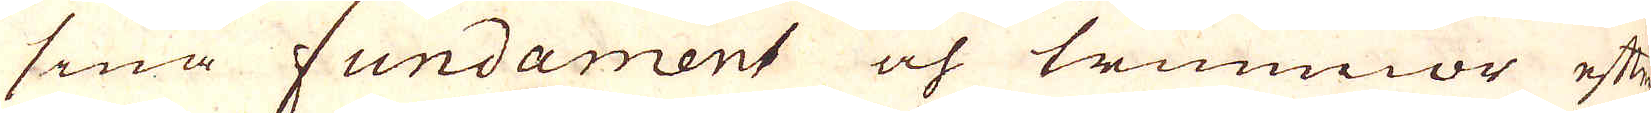sina Fundament och trumnor efter
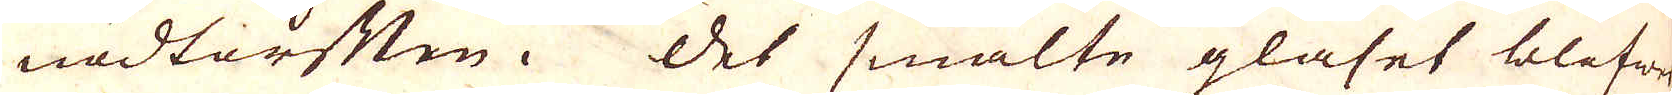nödtorften. Det smälte glaset blifwer
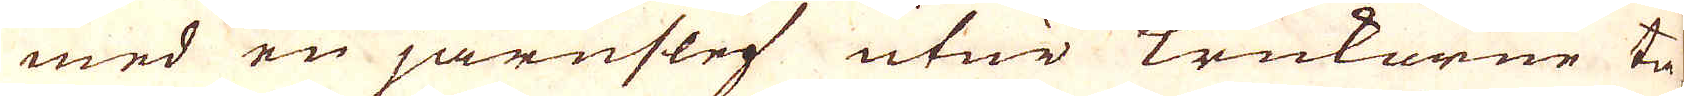med en järnslef utur krukorne ta-
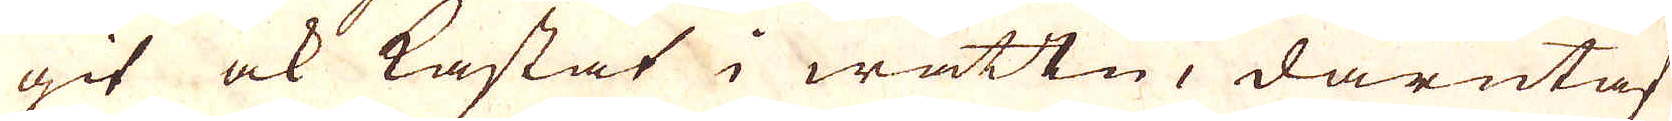git ock kastat i wattn, därutaf
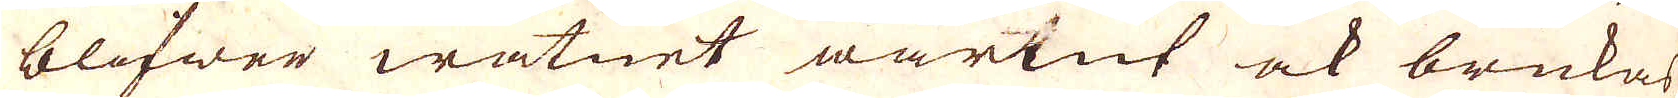blifwer watnet warmt ock brukas
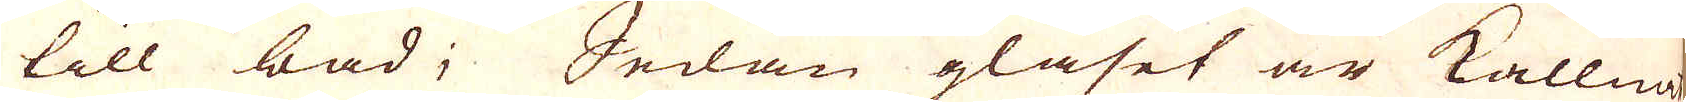till bad; Sedan glaset är kallnat
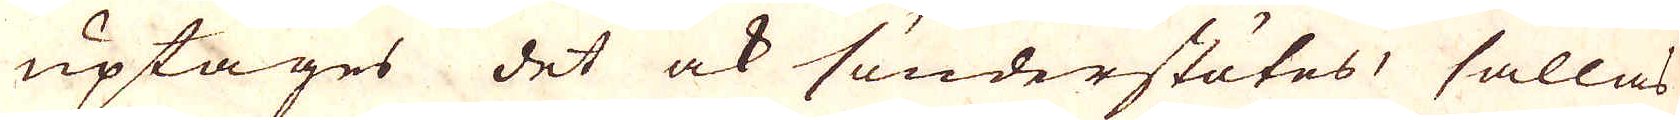uptages det ock sönderstötes, sållas
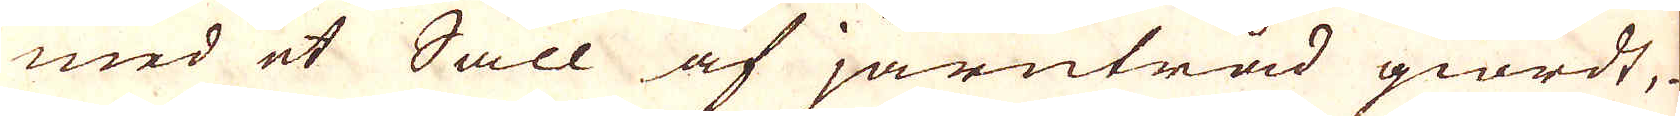med et Såll af järntråd giordt,
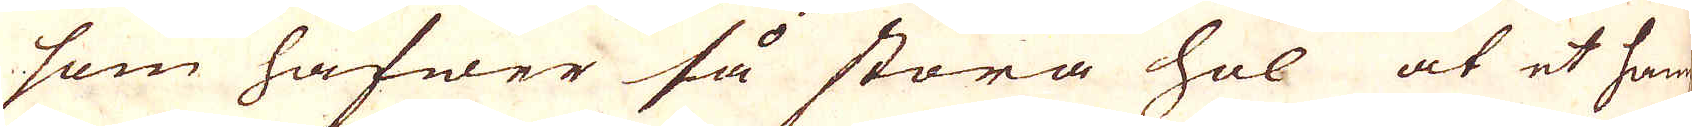som hafwer så stora hol at et hamp-
